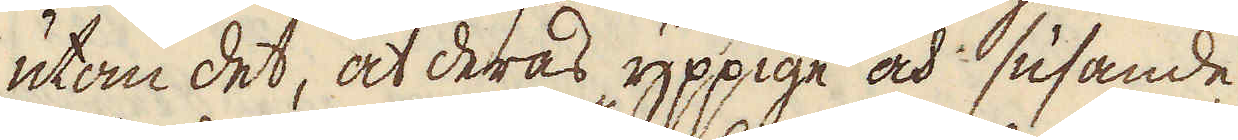utom det, at deras yppige och susande
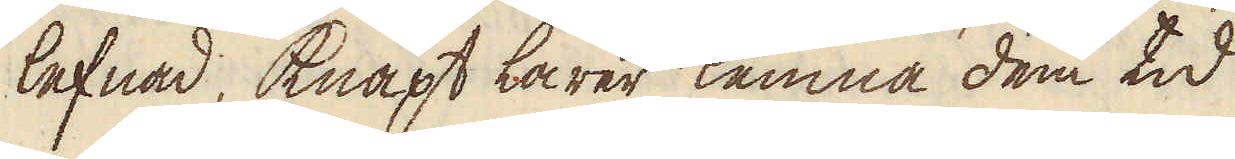lefnad, knapt lärer lemna dem tid
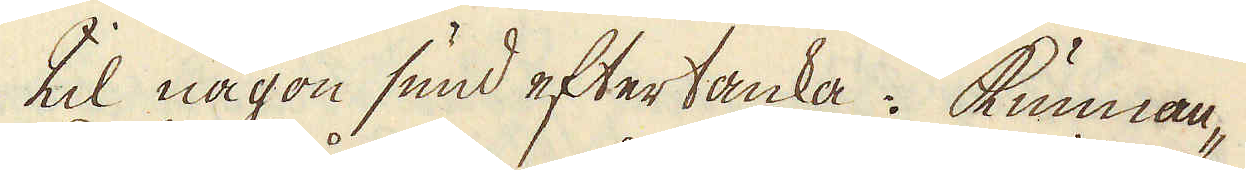til någon sund eftertanka: kunnan-
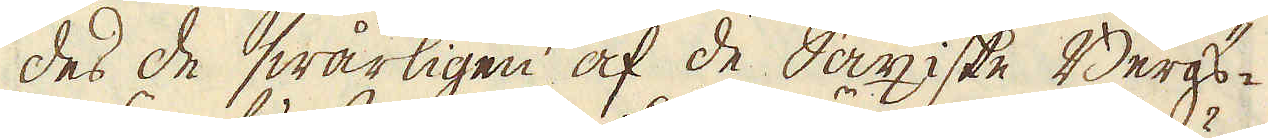des de swårligen af de Saxiske Bergs-
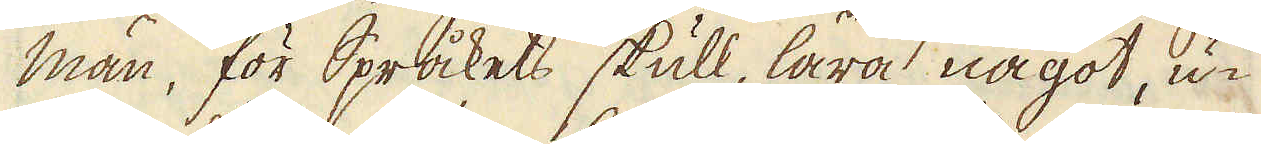män, för Språkets skull, lära något, u-
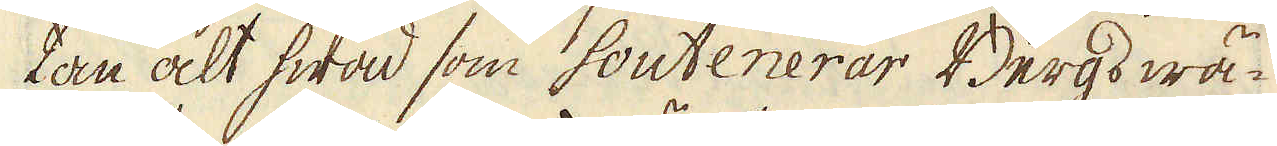tan alt hwad som soutenerar Bergs wä-
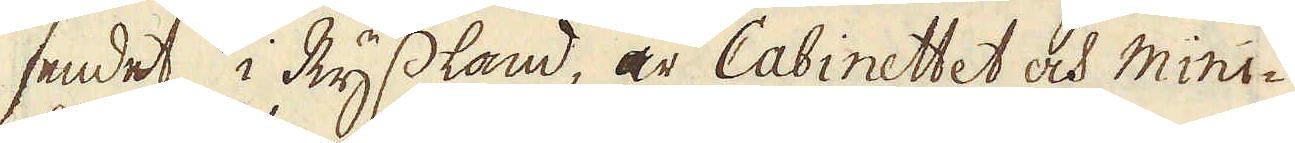sendet i Ryssland, är Cabinettet och mini-
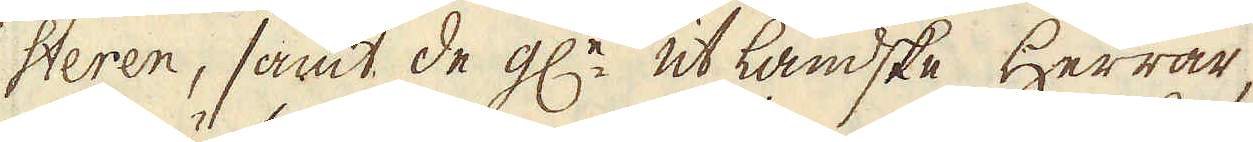steren, samt de gl:e utländske Herrar,
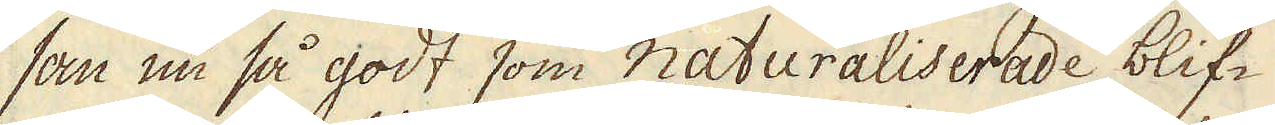som nu så godt som naturaliserade blif-
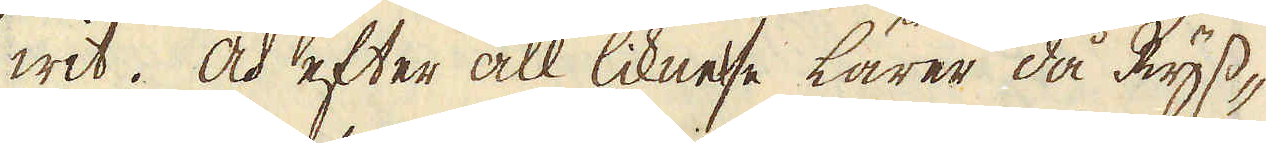wit. Och efter all liknese lärer då Ryss-
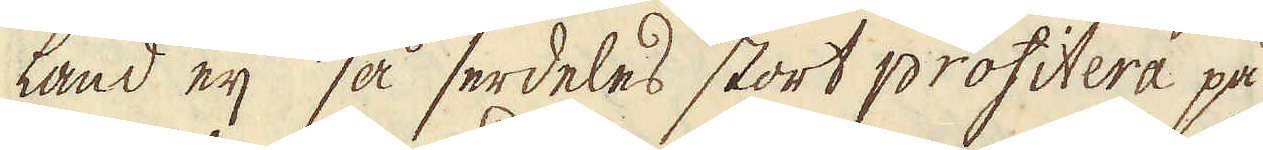land eij så serdeles stort profitera på
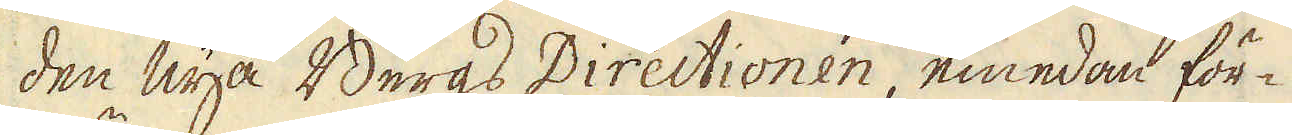den nya Bergs Directionen, emedan för-
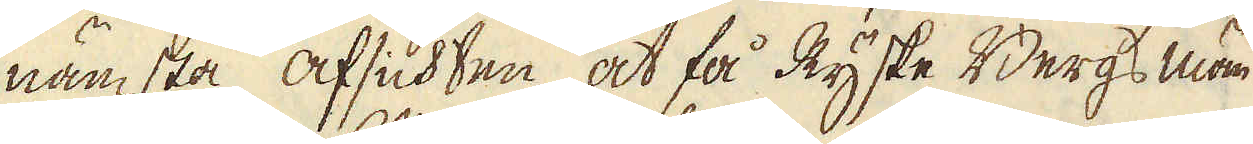nämsta afsichten, at få Ryske Bergs män
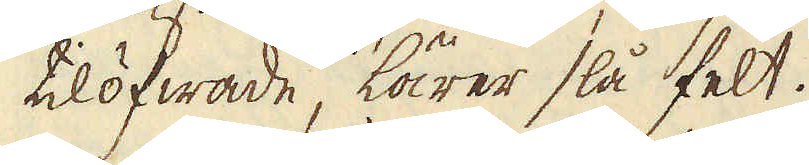tilöfwade, lärer slå felt.
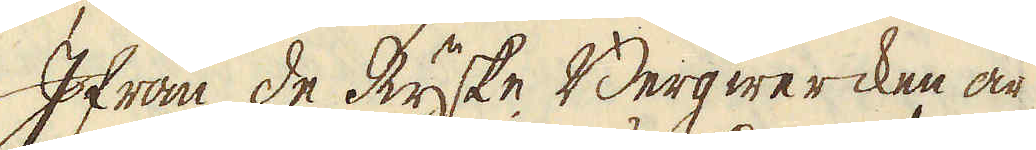Ifrån de Ryske Bergwercken är
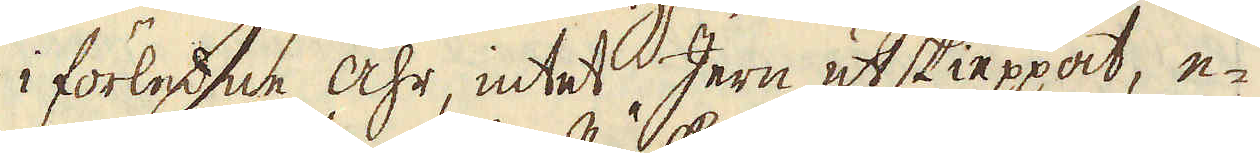i förledne åhr, intet Jern utskieppat, e-
